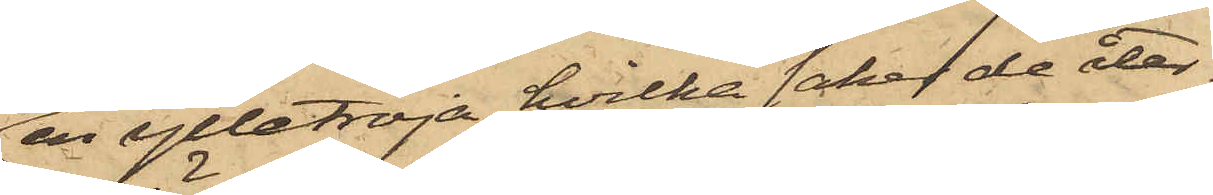en ylletröja, hvilka saker de åter¬
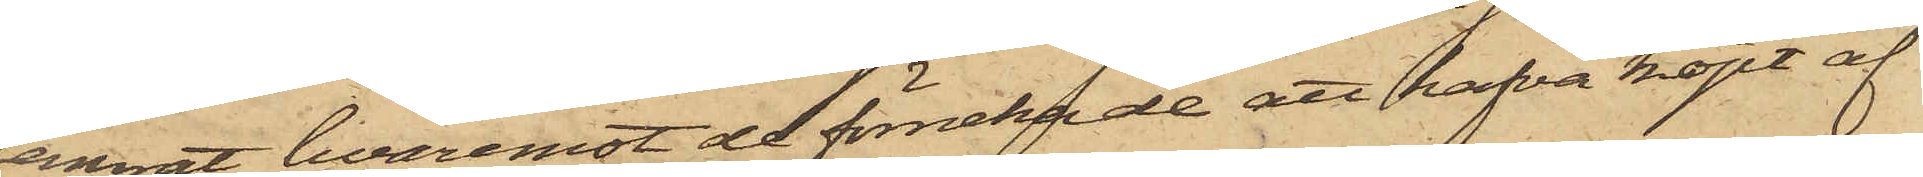lemnat, hvaremot de förnekade att hafva köpt af
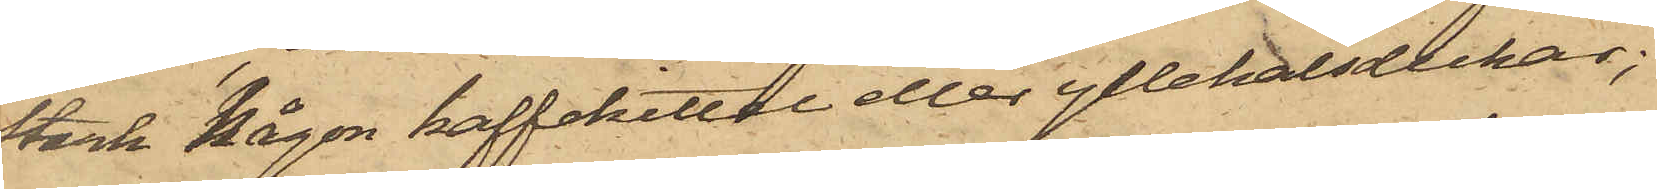Stark någon kaffekittel eller yllehalsdukar;
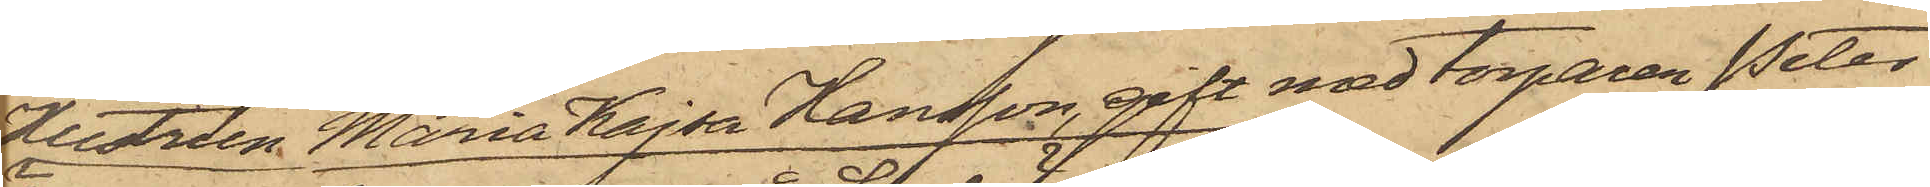Hustrun Maria Kajsa Hansson, gift med torparen Peter
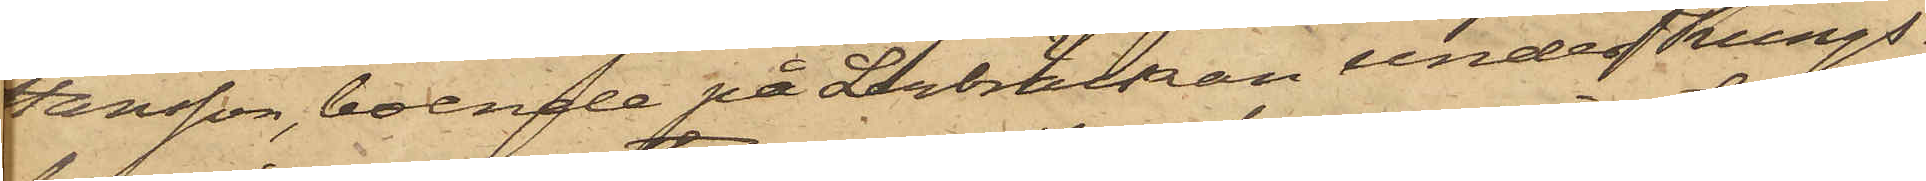Hansson, boende på Lerbräckan under Kungs¬
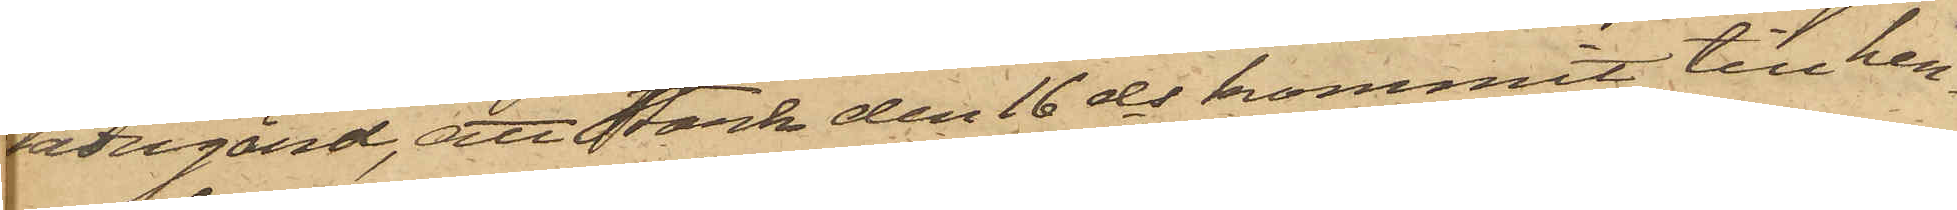ladugård, att Stark den 16 ds kommit till hen¬
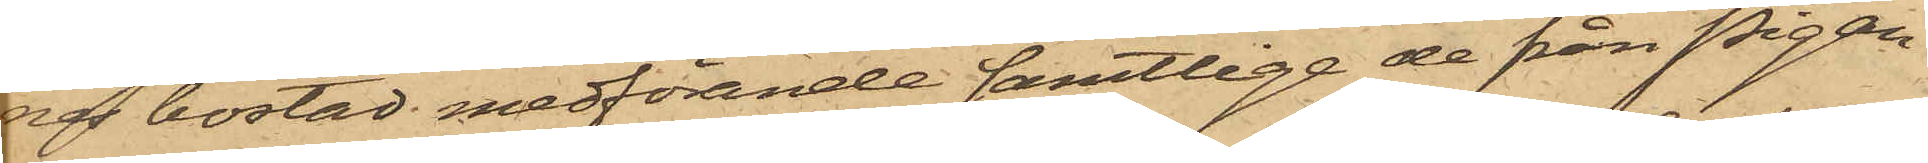nes bostad medförande samtlige de från Pigan
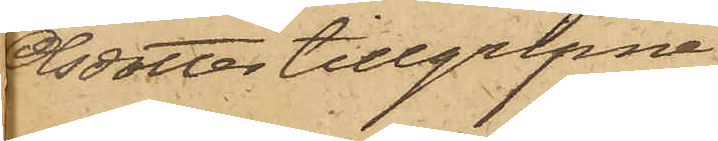Olsdotter tillgripne
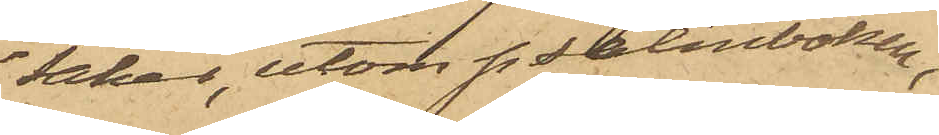saker, utom psalmboken,
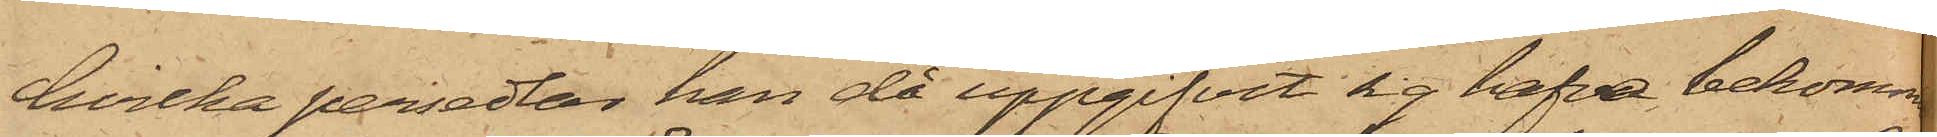hvilka persedlar han då uppgifvit sig hafva bekommit
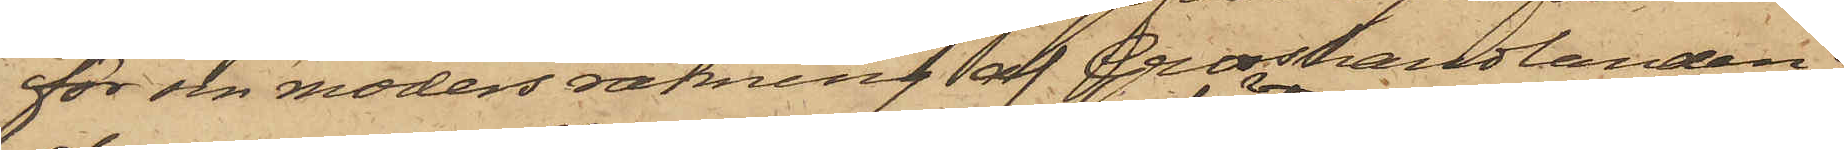för sin moders räkning af Grosshandlanden O.
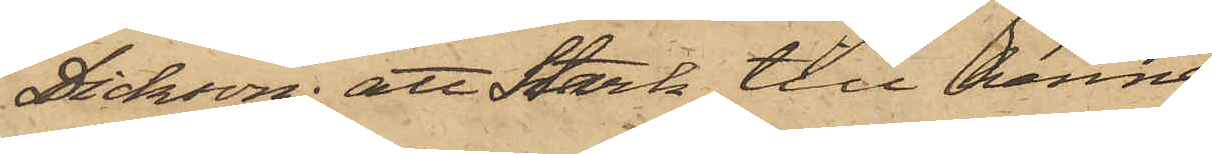Dicksson; att Stark till henne
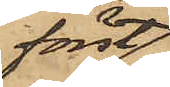först
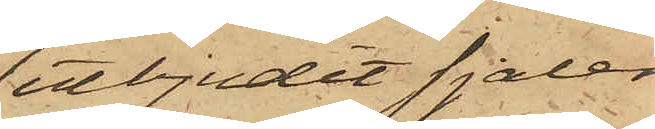utbjudit sjalen
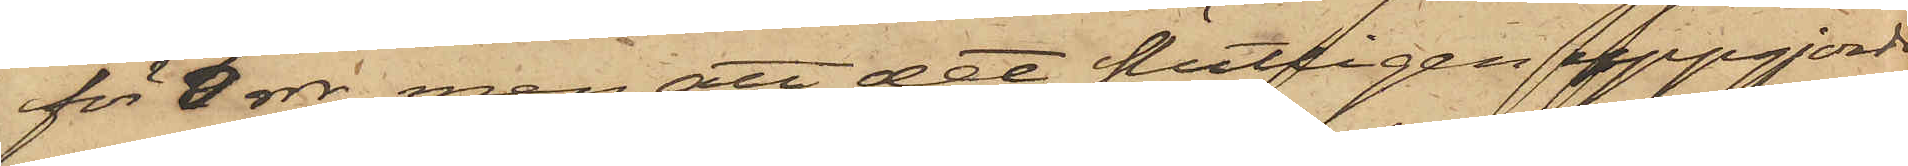för 3 rdr, men att det slutligen uppgjordes
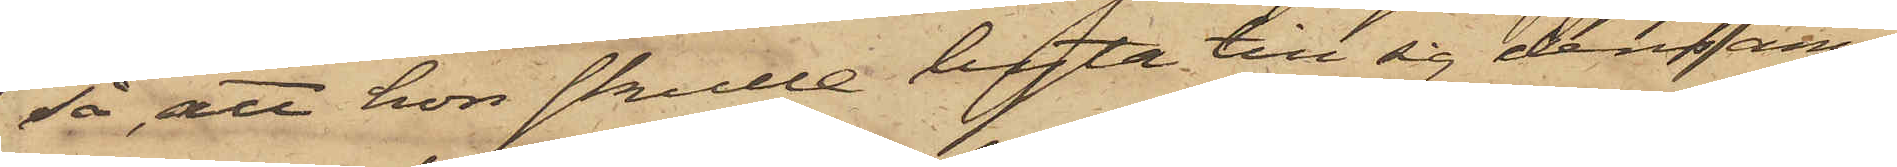så, att hon skulle byta till sig densamma
